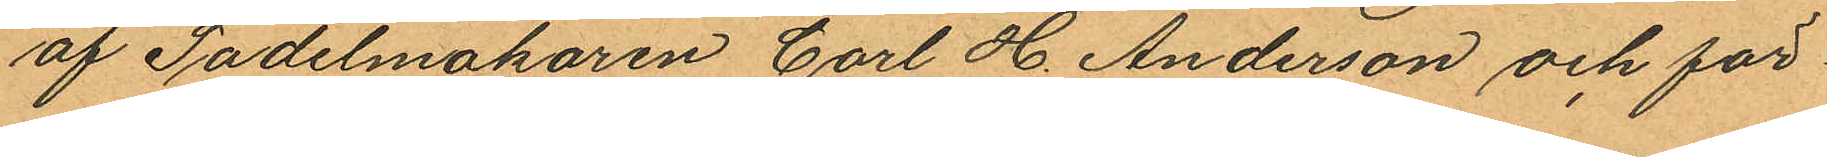af Sadelmakaren Carl H Anderson och för¬
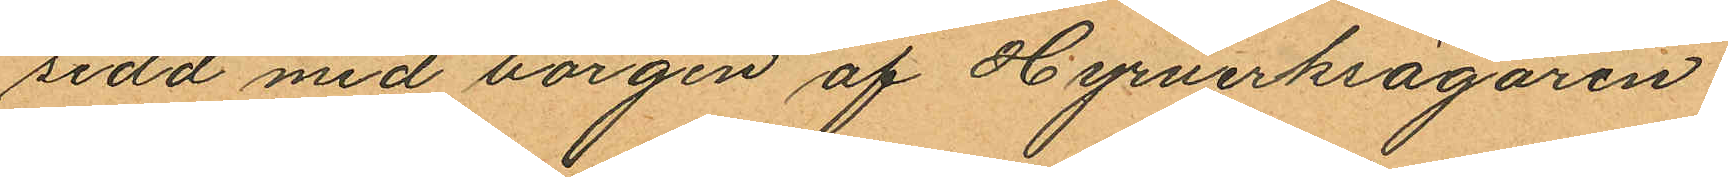sedd med borgen af Hyrverksägaren
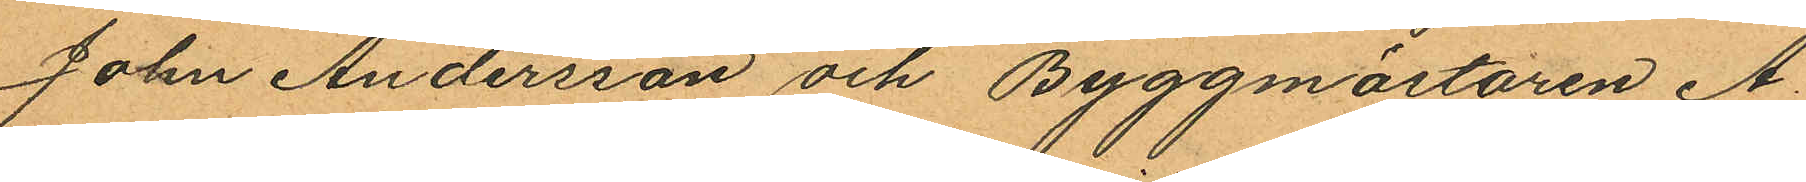John Andersson och Byggmästaren A.
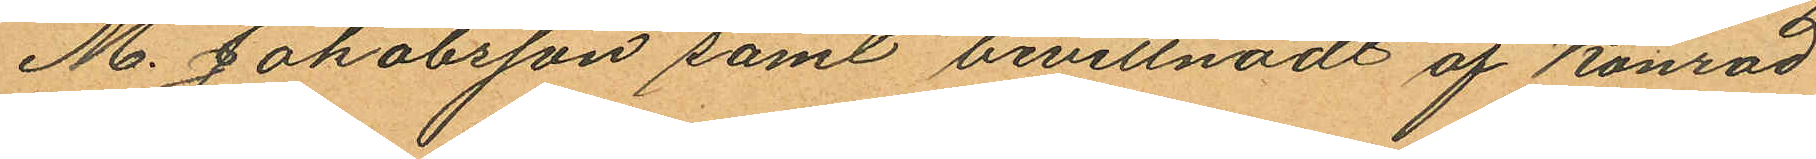M. Jakobsson samt bevittnadt af Konrad
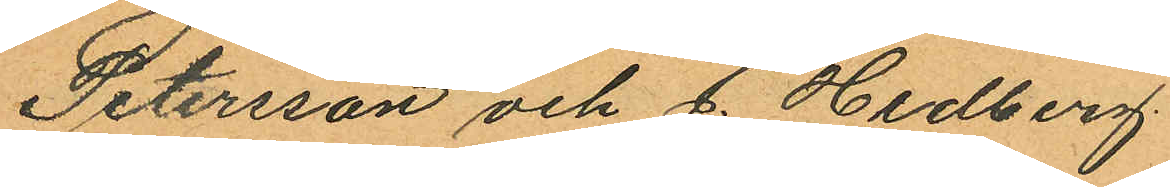Petersson och J. Hedberg.
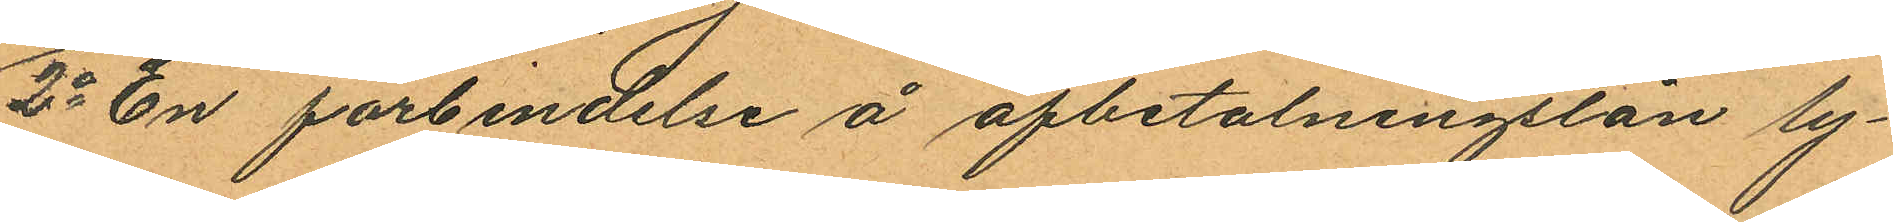2o En förbindelse å afbetalningslån ly¬
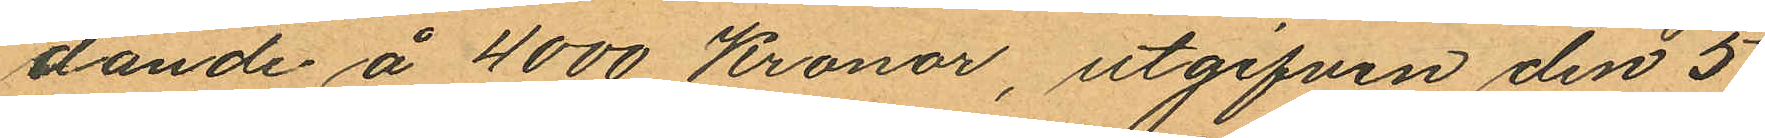dande å 4000 Kronor, utgifven den 5
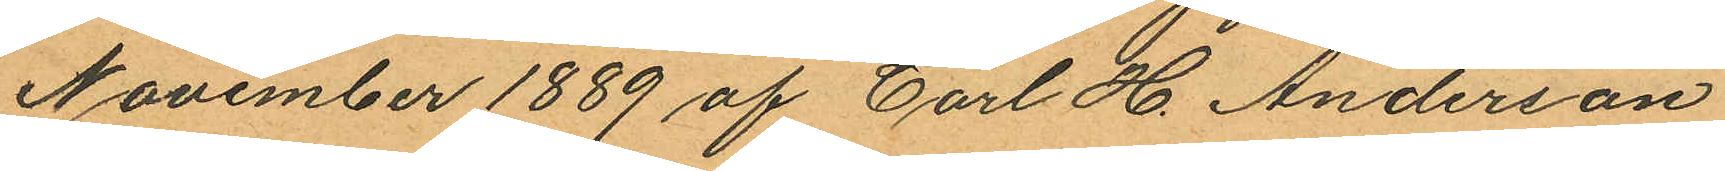November 1889 af Carl H. Anderson
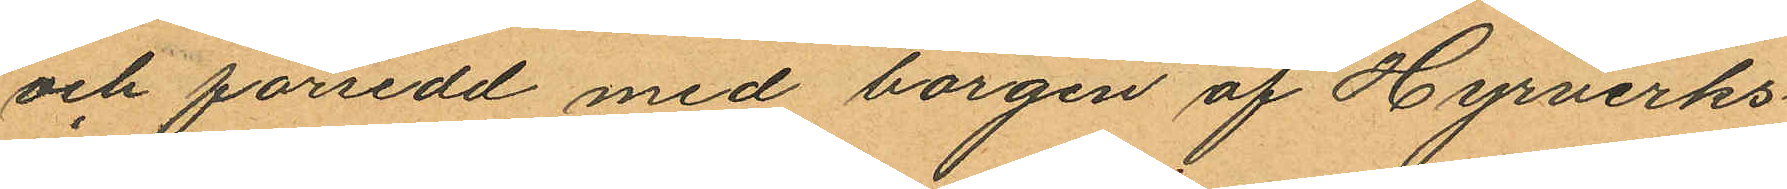och försedd med borgen af Hyrverks¬
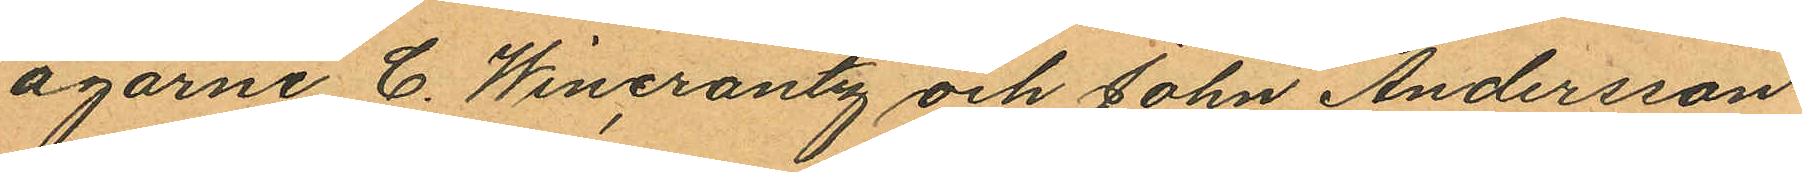ägarne C. Wincrantz och John Andersson
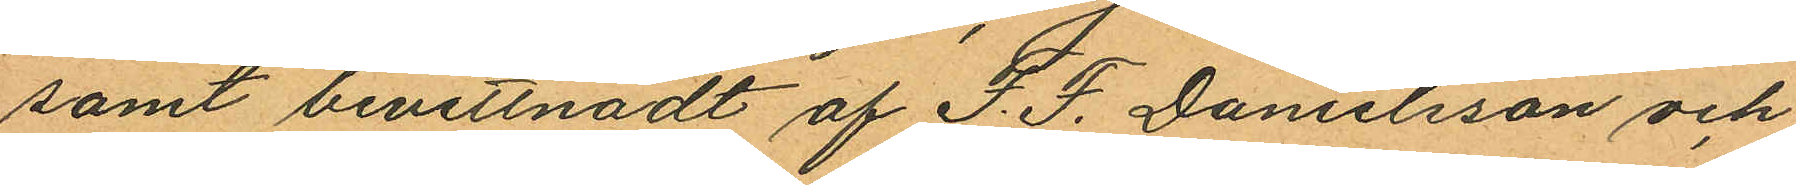samt bevittnadt af F. F. Danielsson och
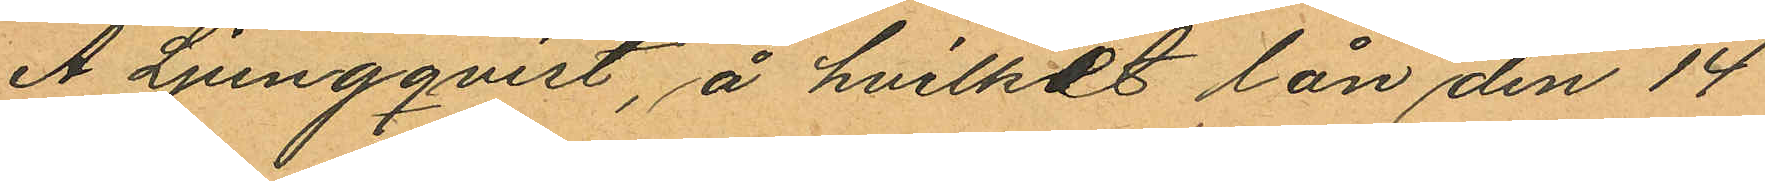A. Lungqvist, å hvilket lån den 14
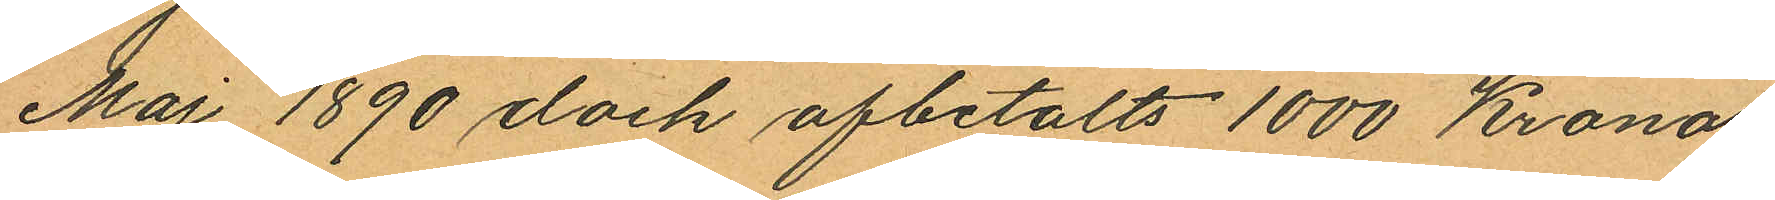Maj 1890 dock afbetalts 1000 Kronor.
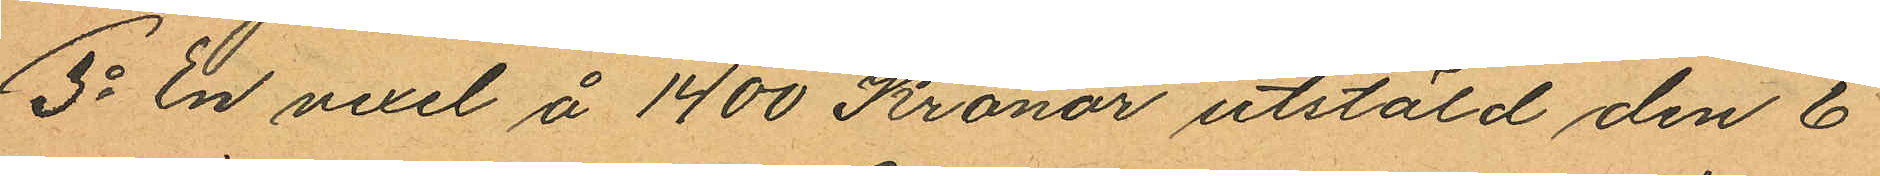3o En vexel å 1400 Kronor utstäld den 6
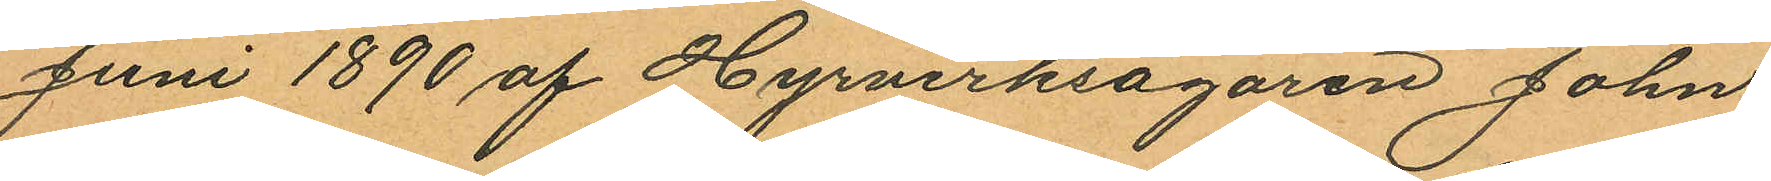Juni 1890 af Hyrverksägaren John
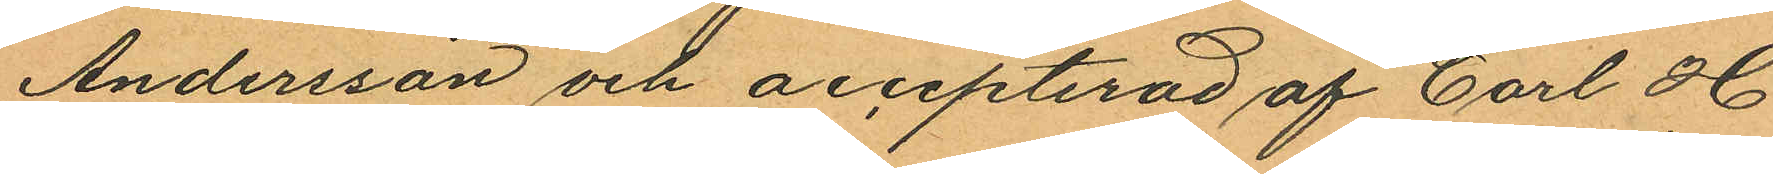Andersson och accepterad af Carl H
